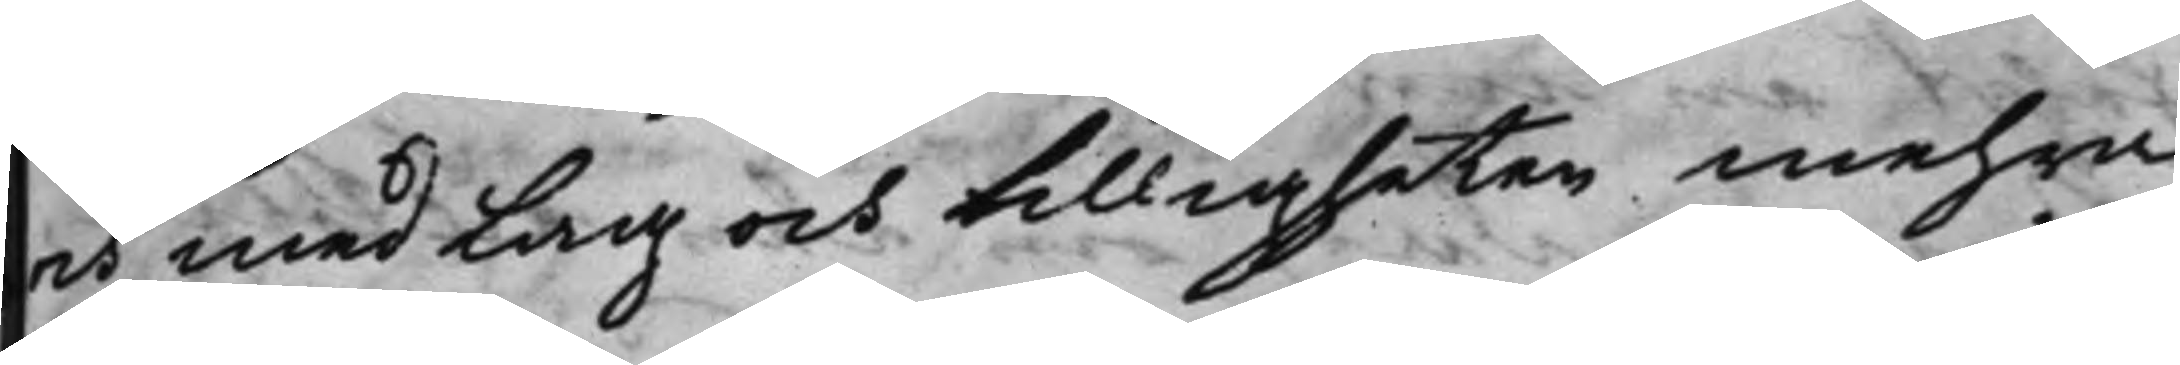och med Lag och billigheten mehra
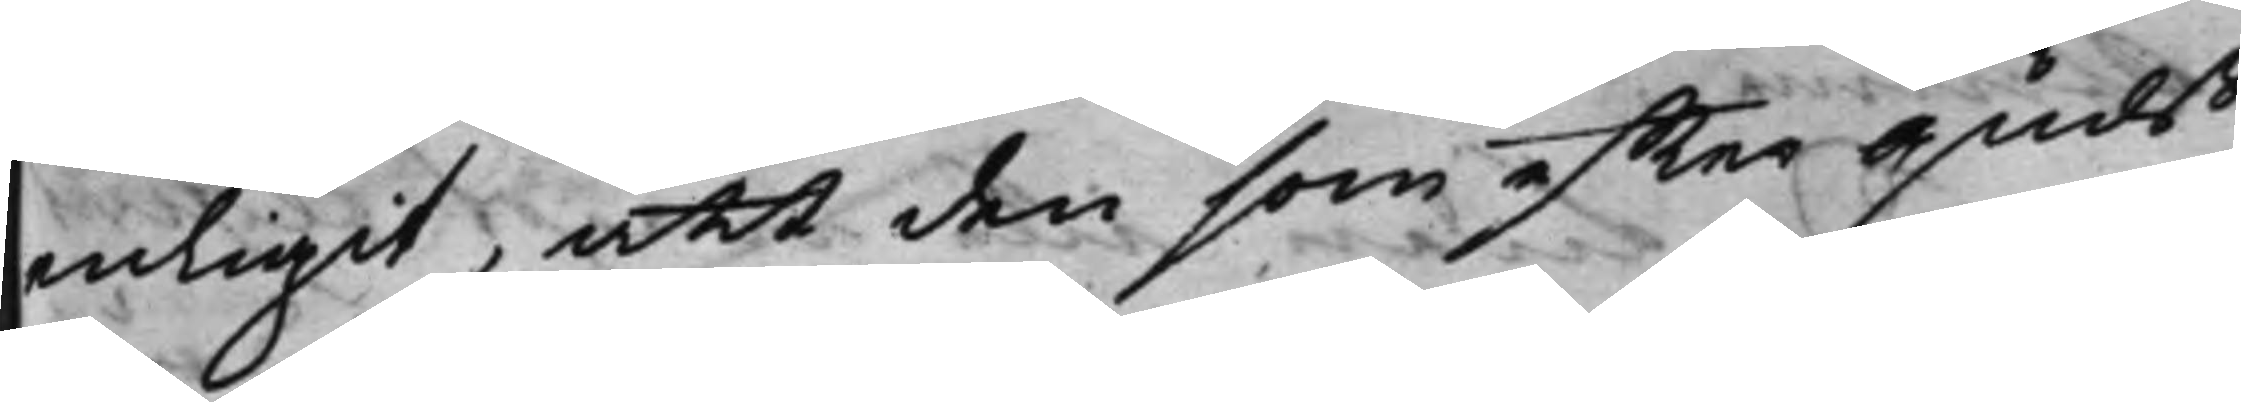enligit, att den som effter Guds
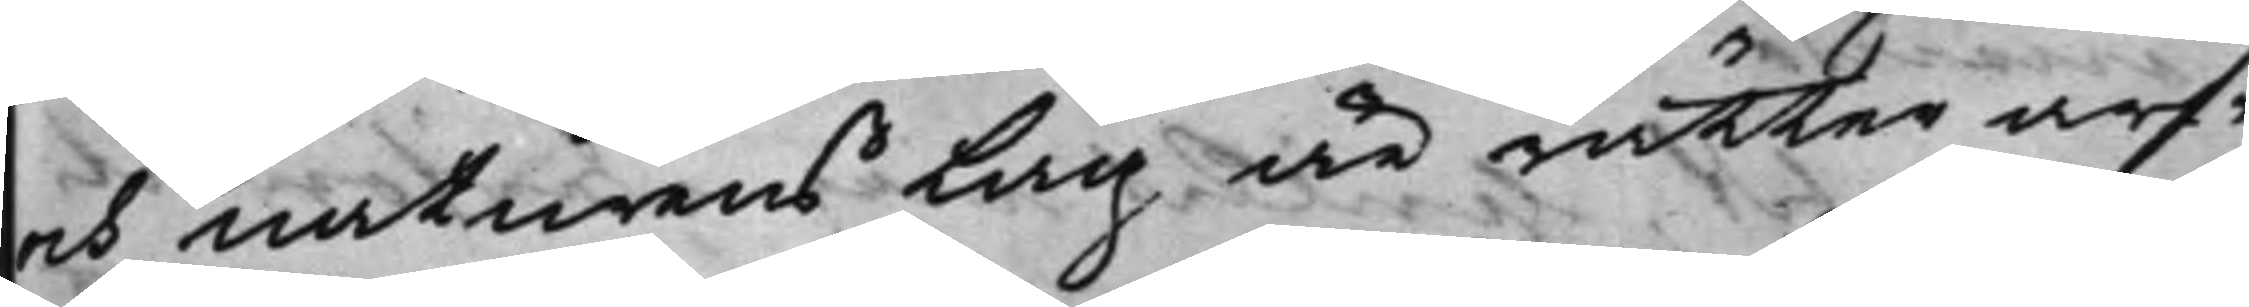och naturens Lag är rätter arf¬
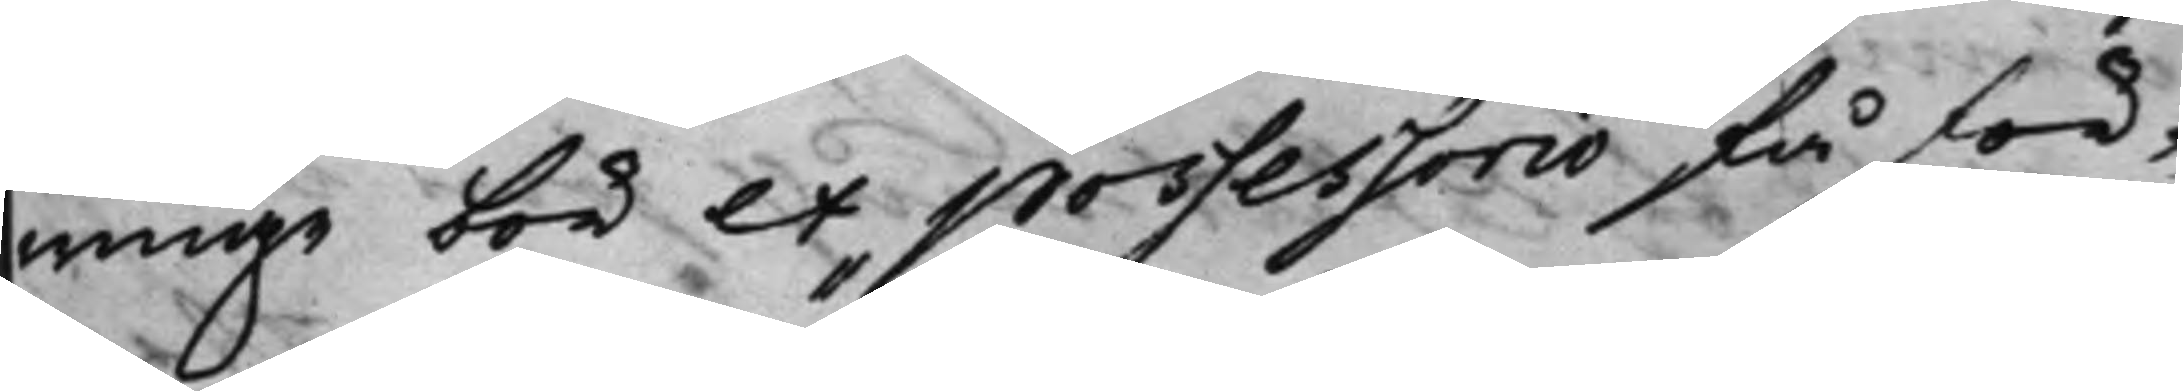winge bör ex possessorio få för¬
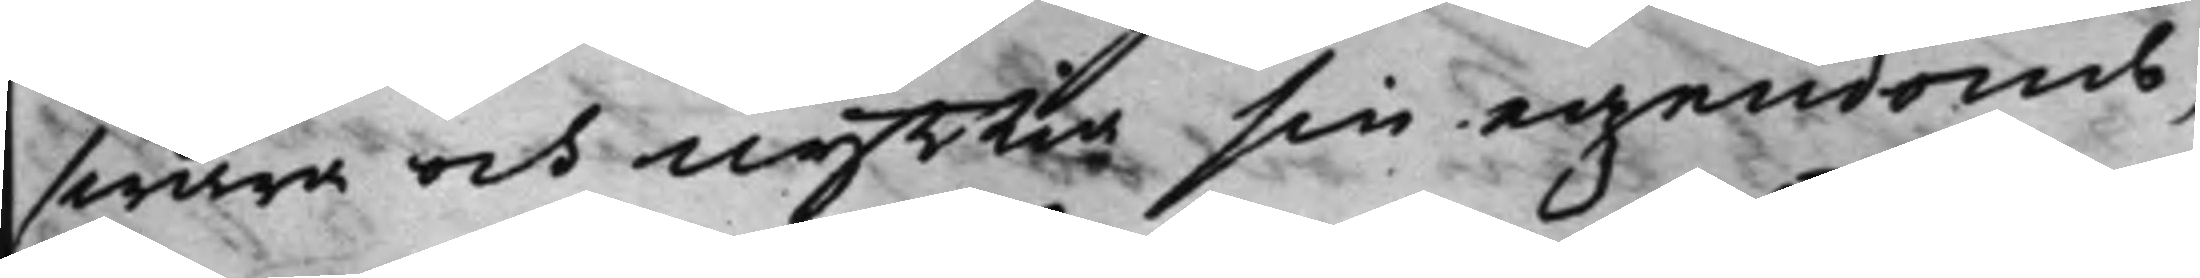swara och nyttia sin egendomb,
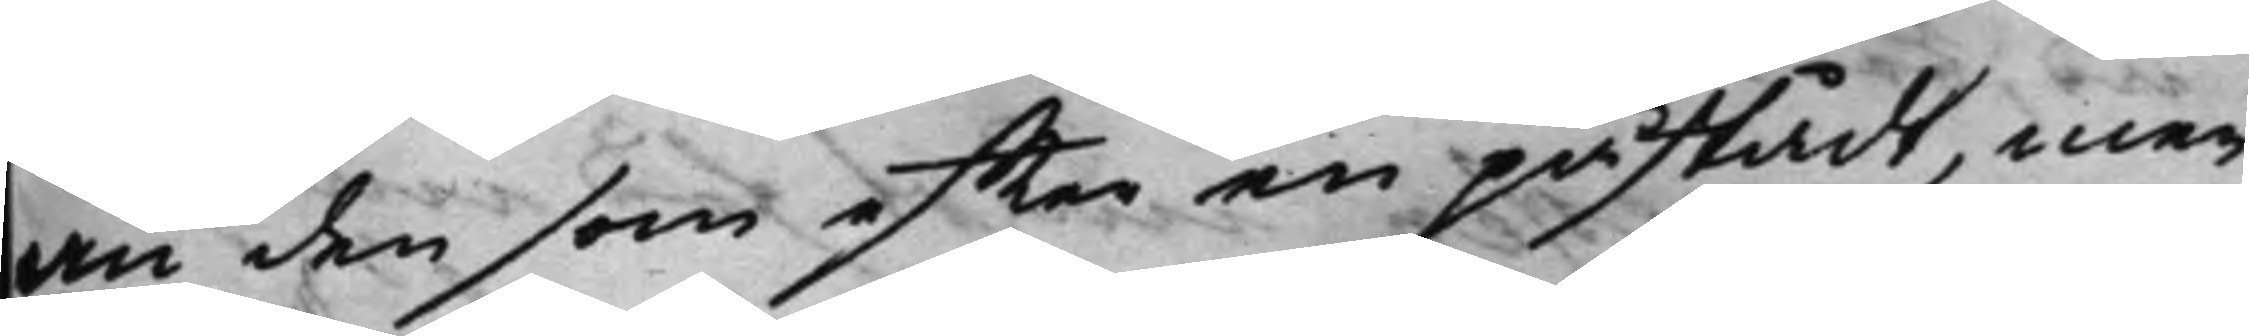än den som effter en påstådt, men
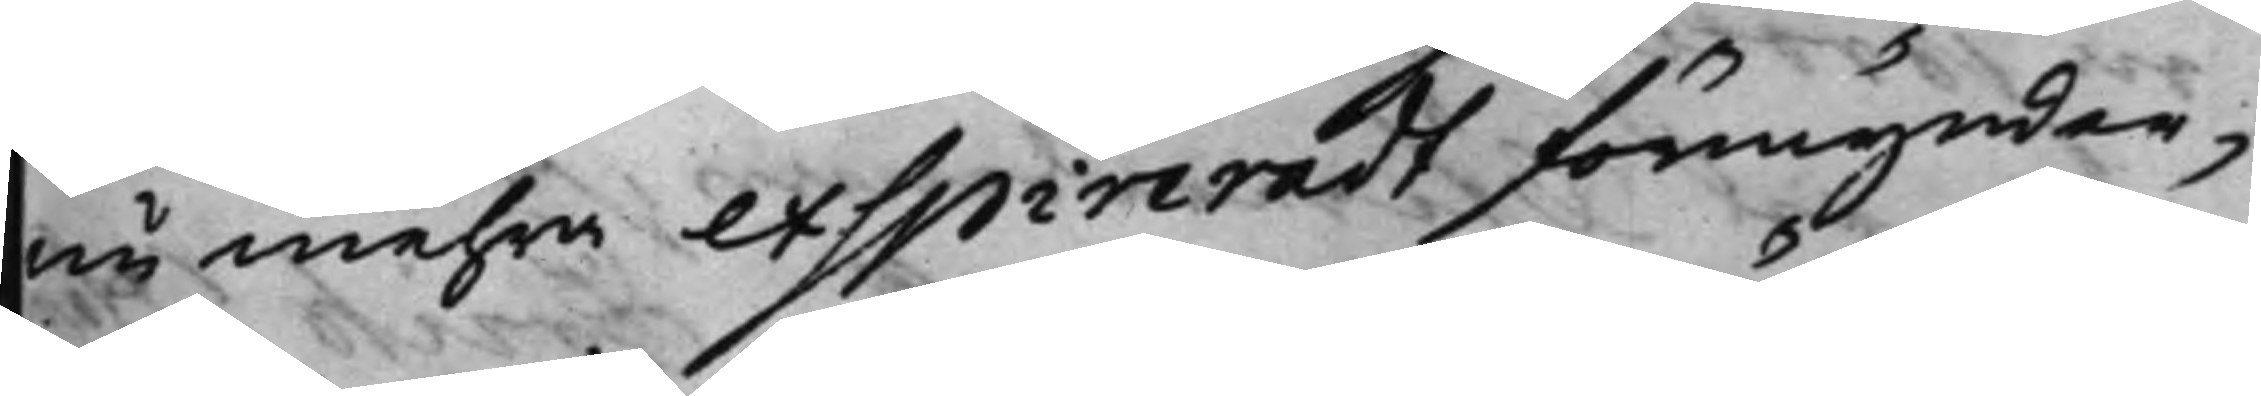nu mehra exspireradt förmyndar¬
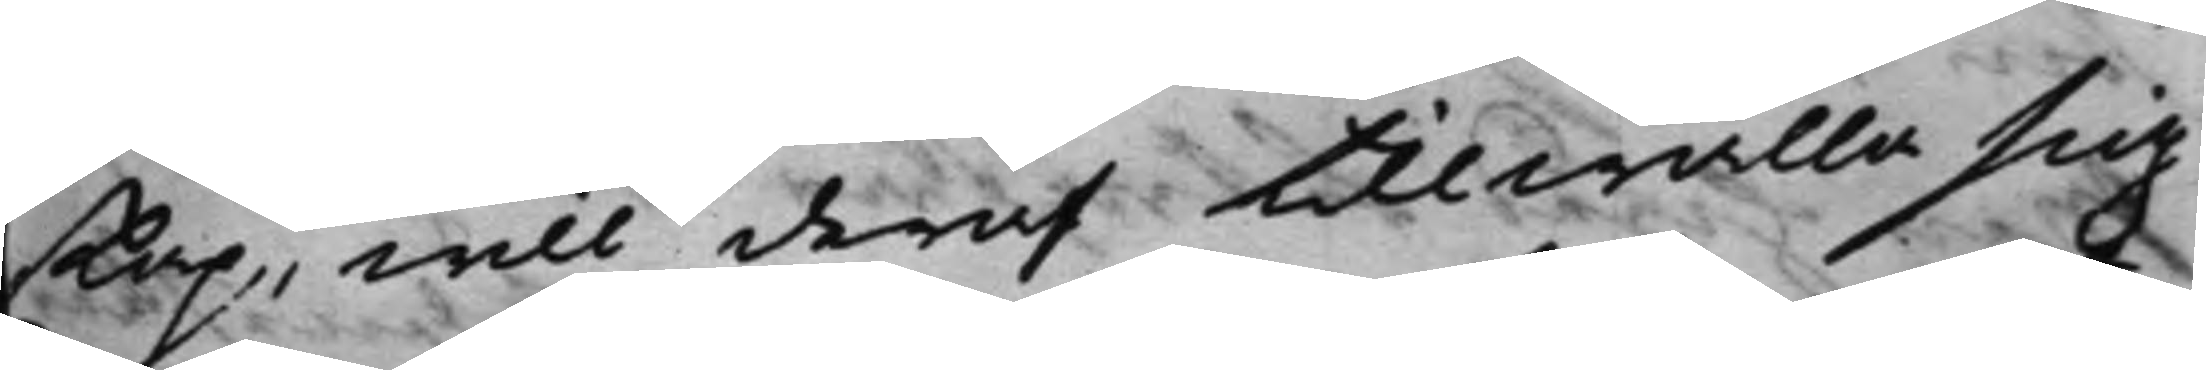skap, will deraf tillwälla sig
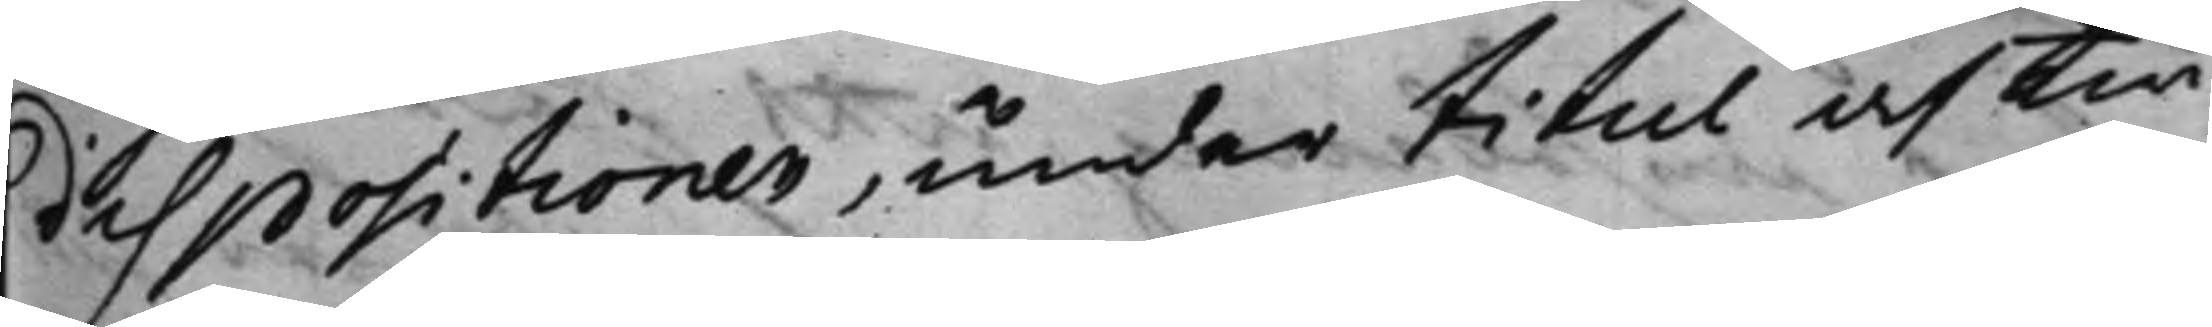dispositionen, under titul af twi¬
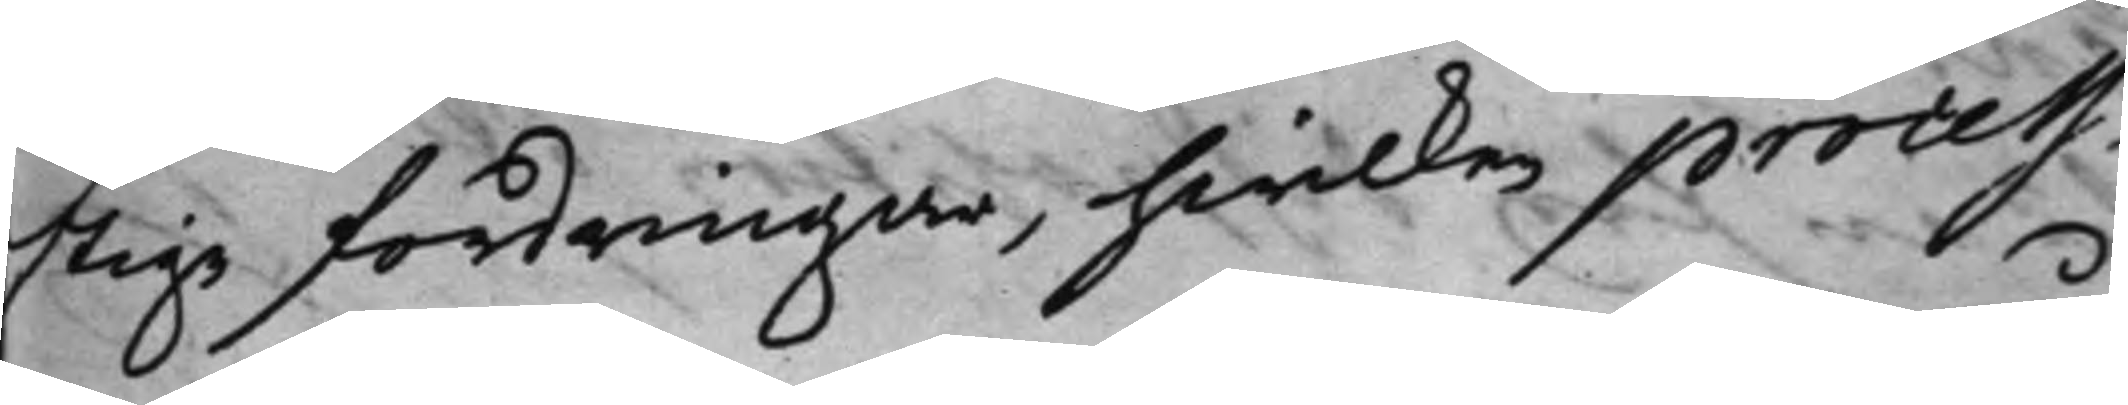stige fordringar, hwilken process i
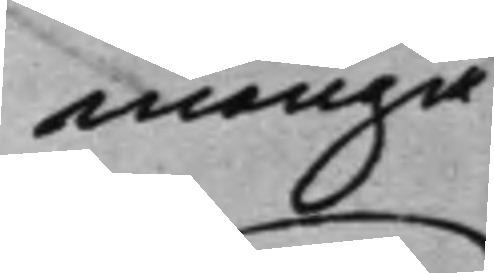många
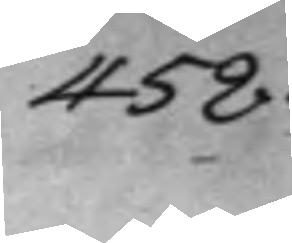458.
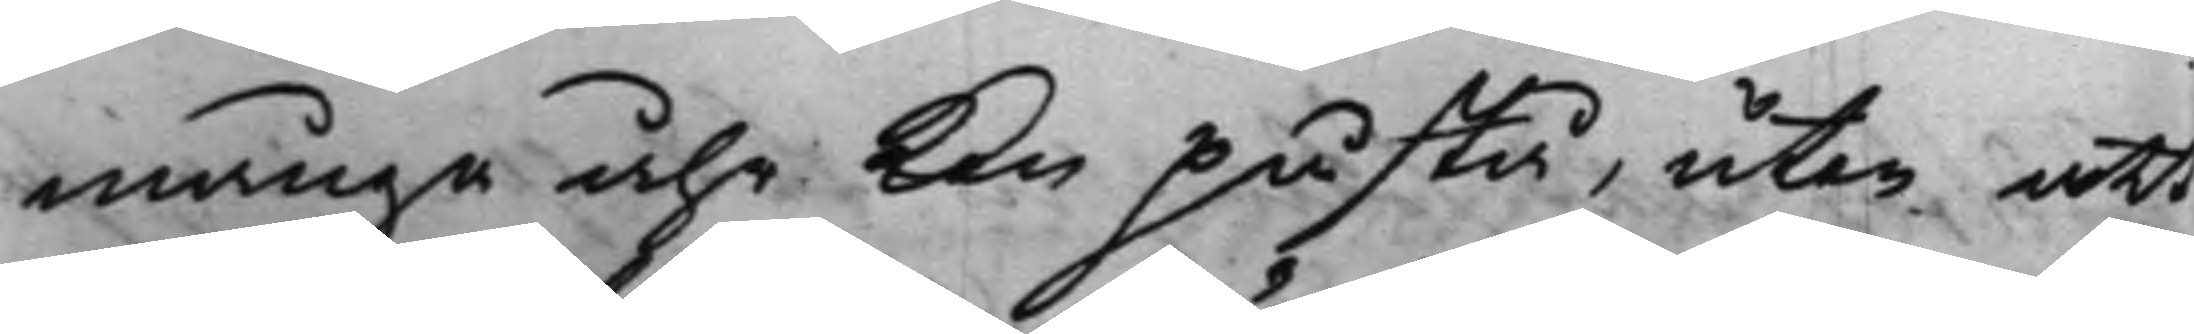många åhr kan påstå, utan att
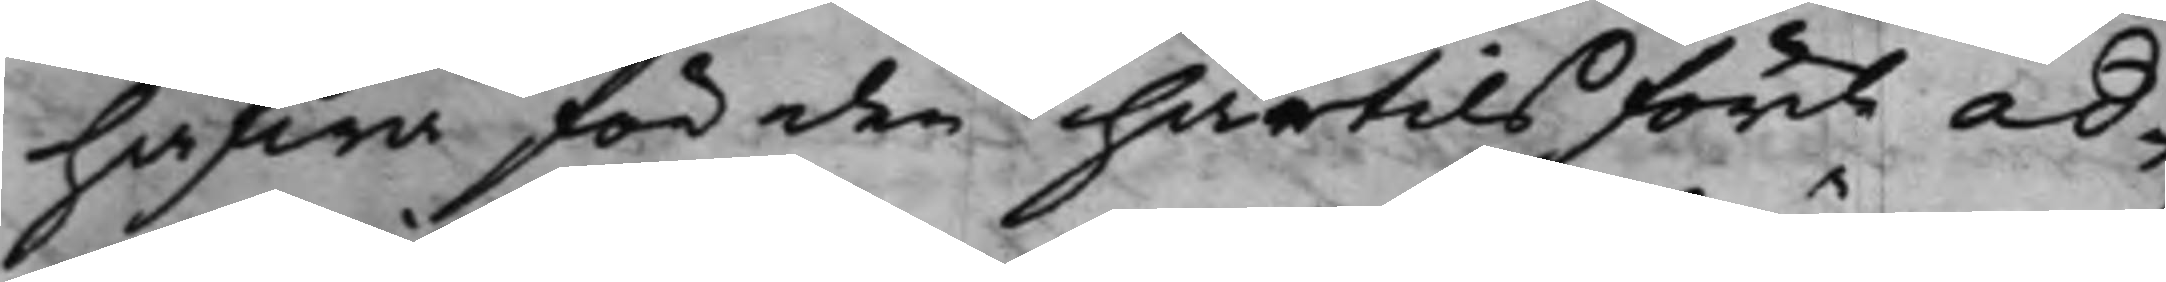hafwa för den härtils för ad¬
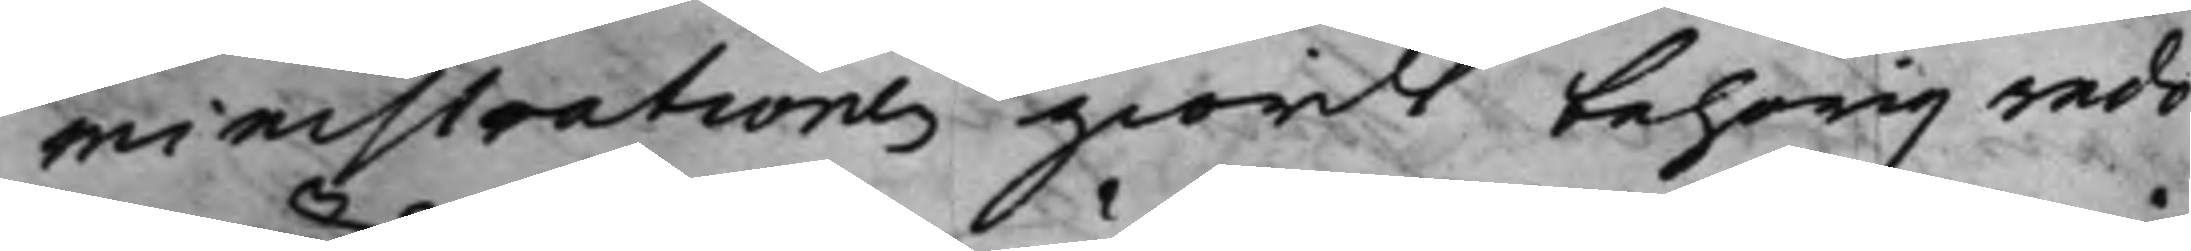ministrationes giordt behörig redo¬
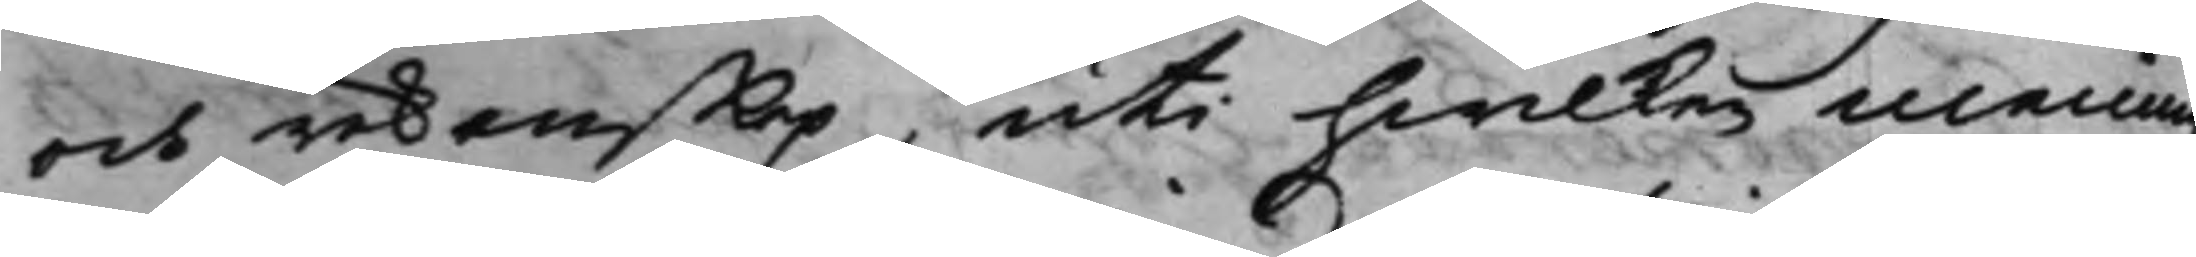och räkenskap, uti hwilken mening
